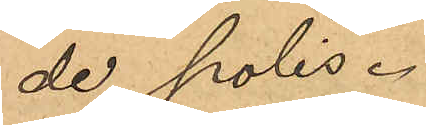de polis.
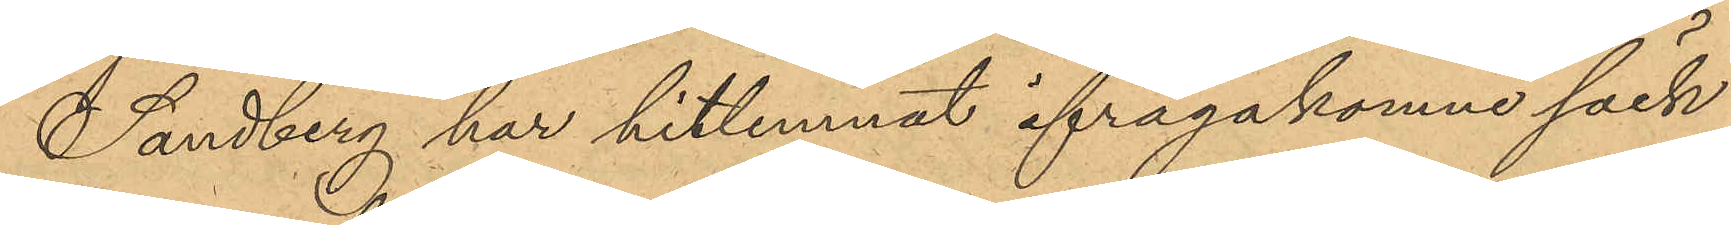Sandberg har hitlemnat ifrågakomne säck
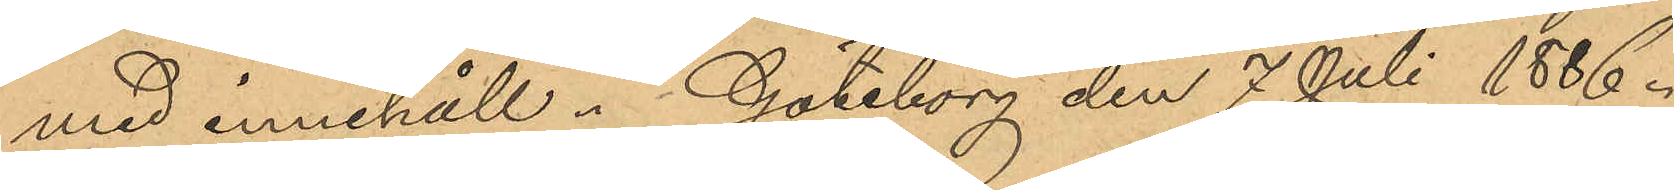med innehåll. Göteborg den 7 Juli 1886.
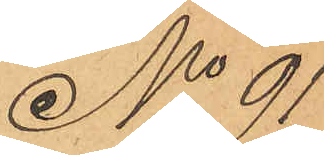No 91
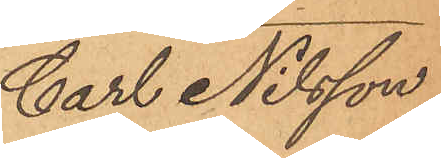Carl Nilsson
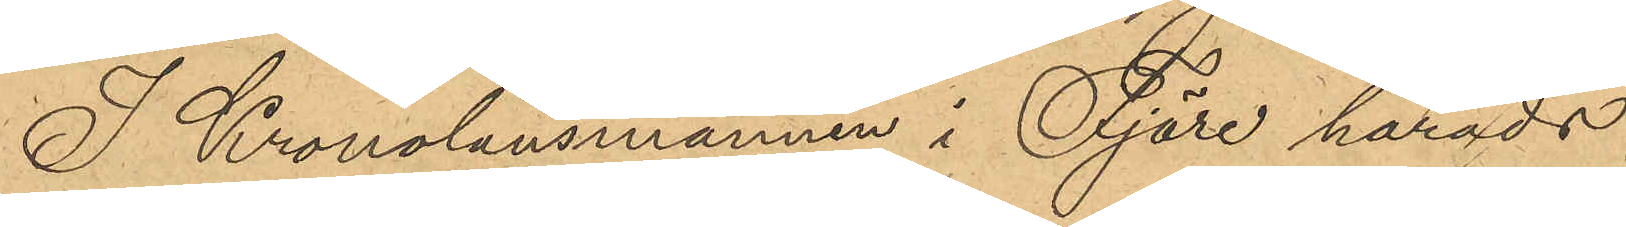I Kronolänsmannen i Fjäre härads
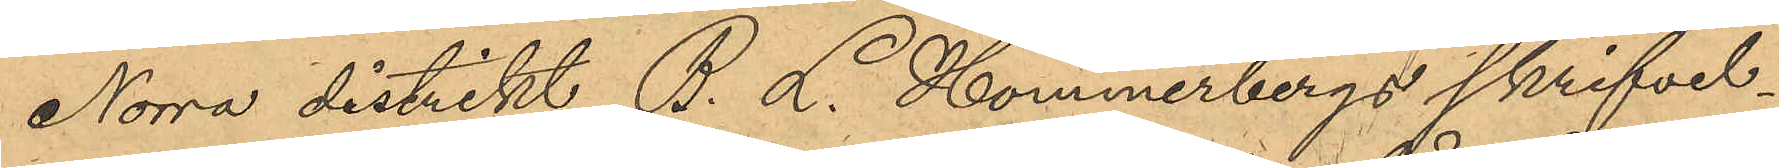Norra distrikt B. L. Hommerbergs skrifvel¬
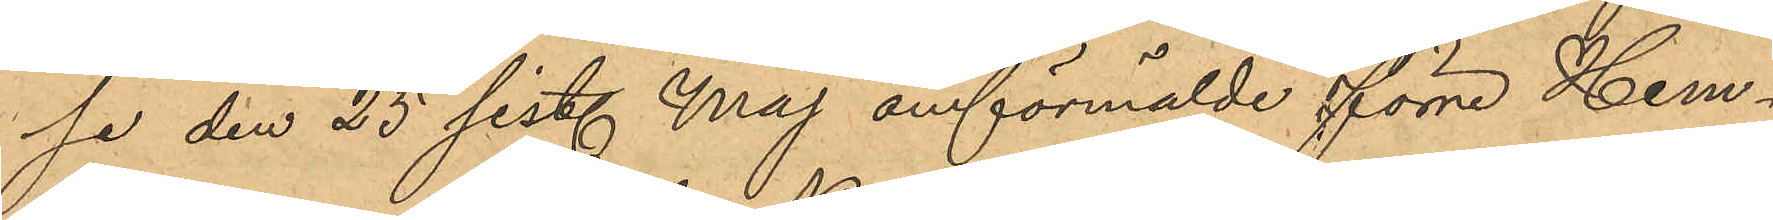se den 25 sist. Maj omförmälde förre Hem¬
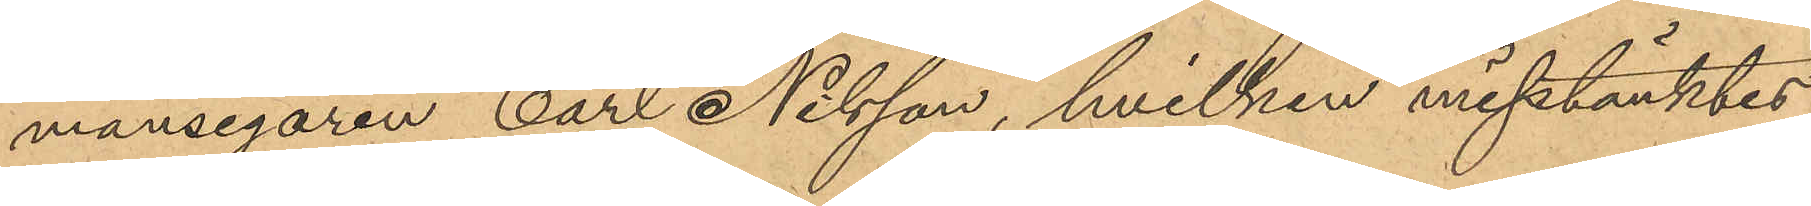mansegaren Carl Nilsson, hvilken misstänktes
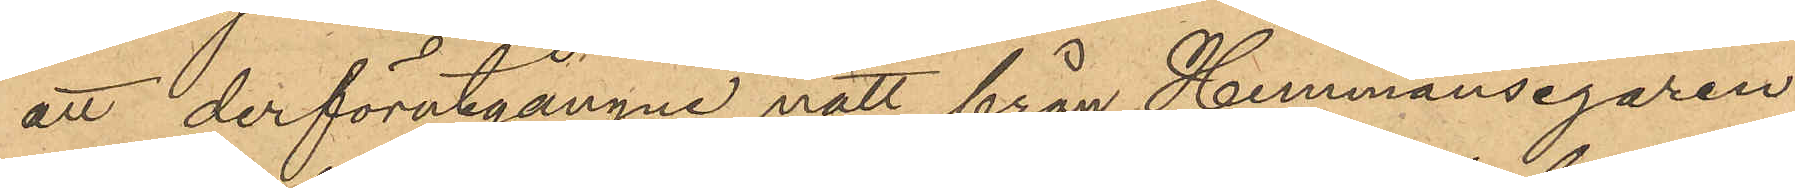att derförutgångne natt från Hemmansegaren
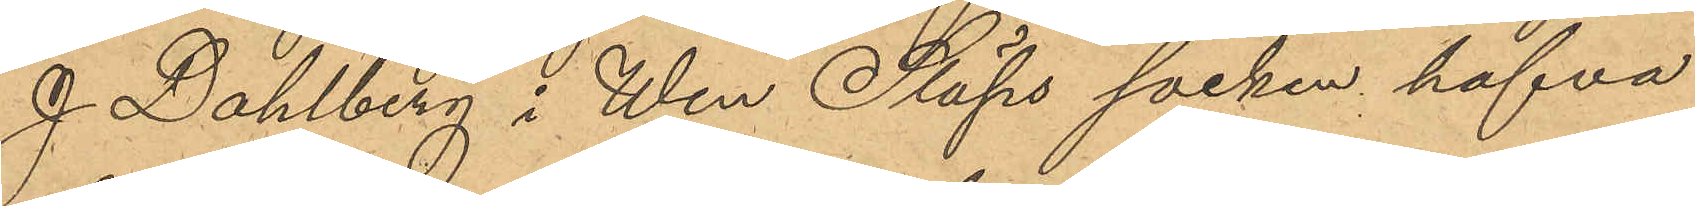J. Dahlberg i Wen Släps socken hafva
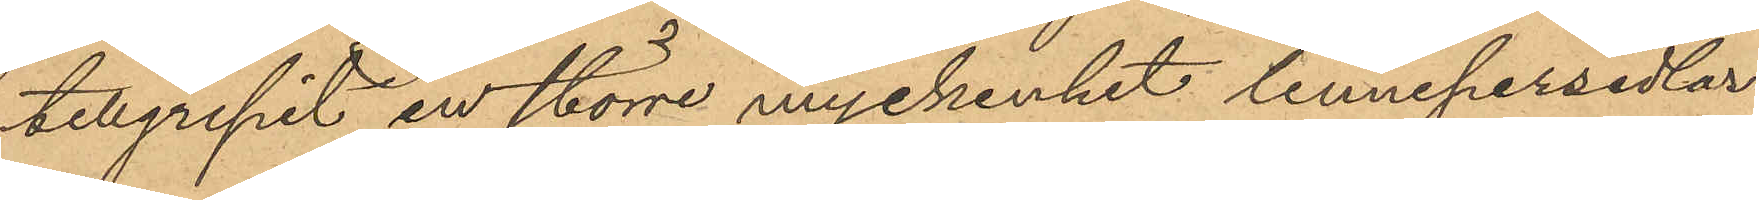tillgripit en större myckenhet linnepersedlar
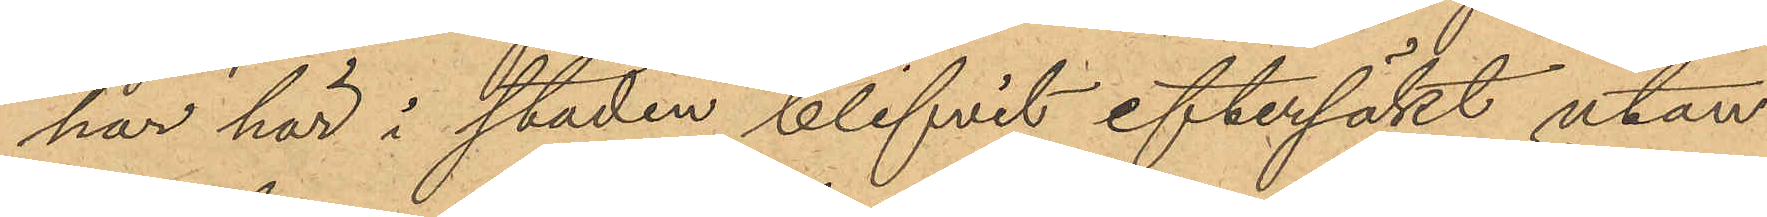har här i staden blifvit eftersökt utan
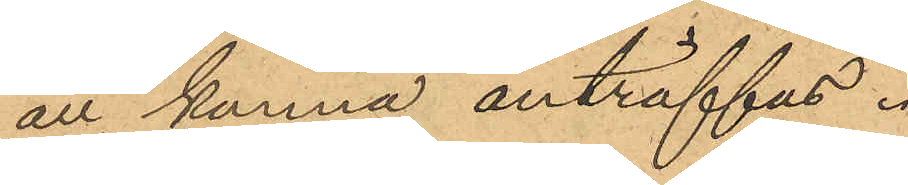att kunna anträffas.
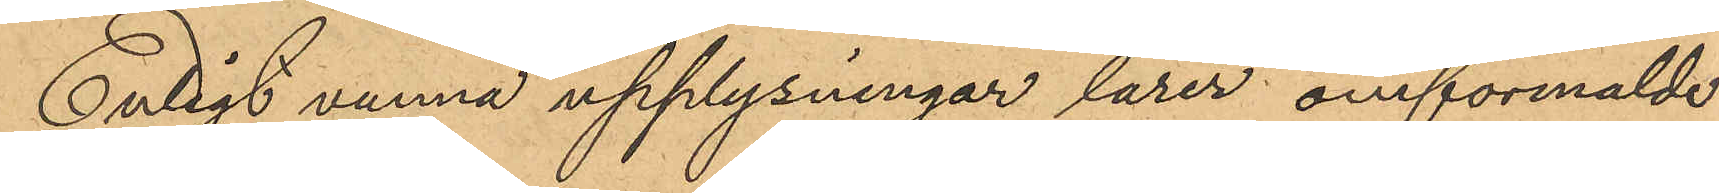Enligt vunna upplysningar lärer omförmälde
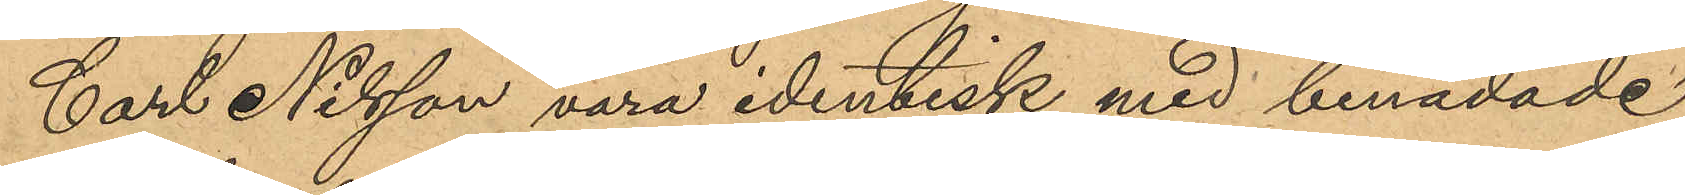Carl Nilsson vara identisk med benådade
